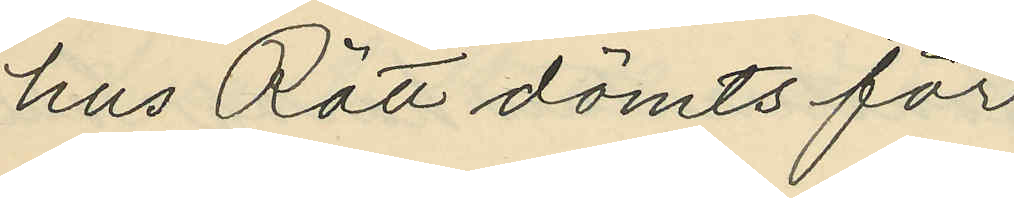hus Rätt dömts för
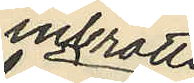inbrotts
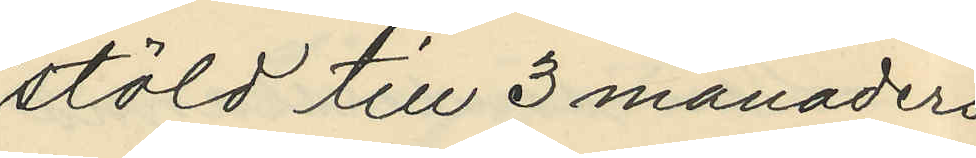stöld till 3 månaders
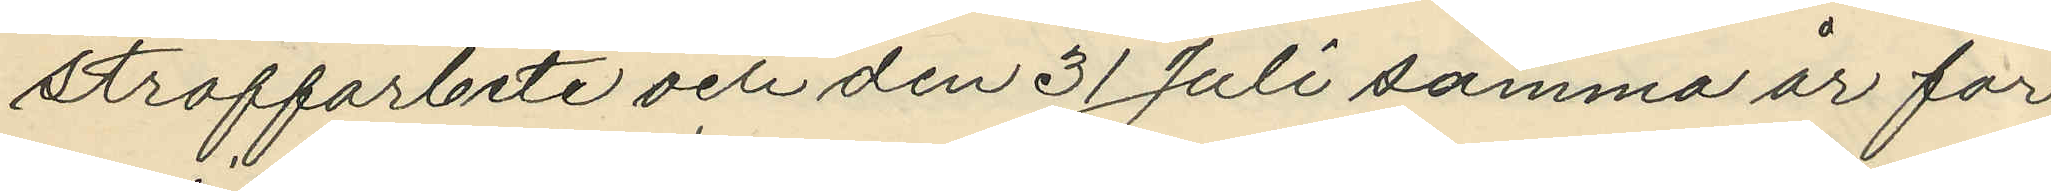straffarbete och den 31 Juli samma år för
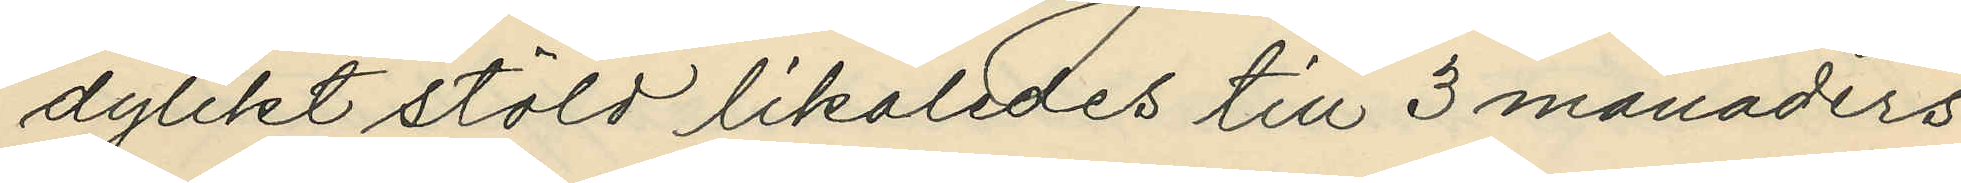dylikt stöld likaledes till 3 månaders
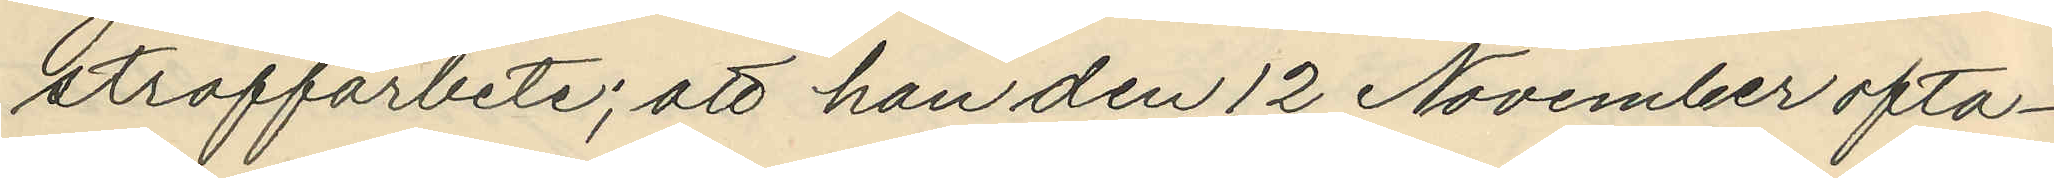straffarbete; att han den 12 November ofta¬
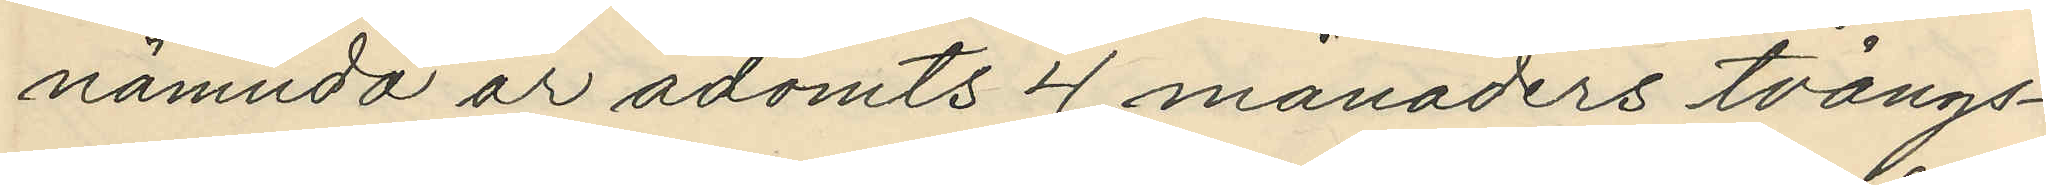nämnda år ådömts 4 månaders tvångs¬
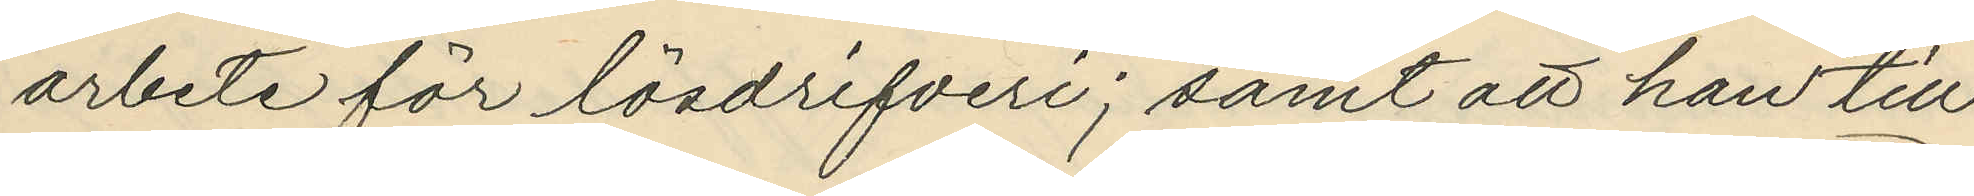arbete för lösdrifveri; samt att han till¬
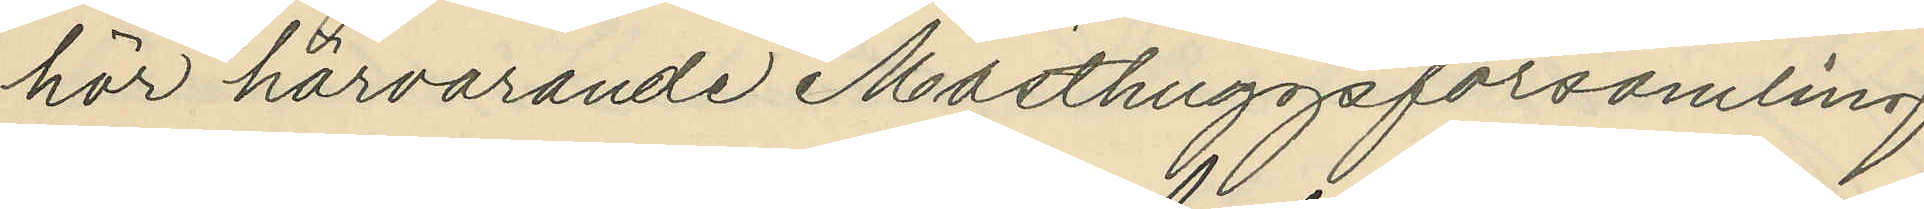hör härvarande Masthuggsförsamling
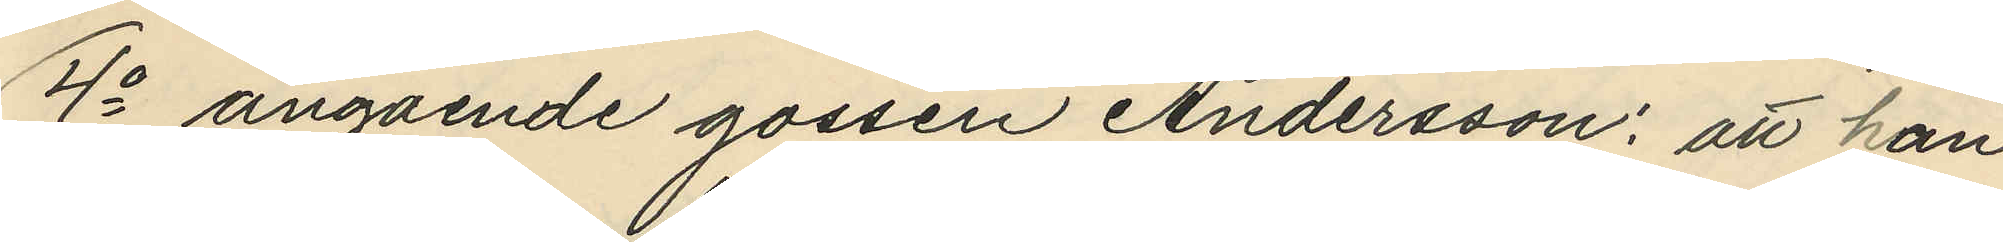4o angående gossen Andersson: att han
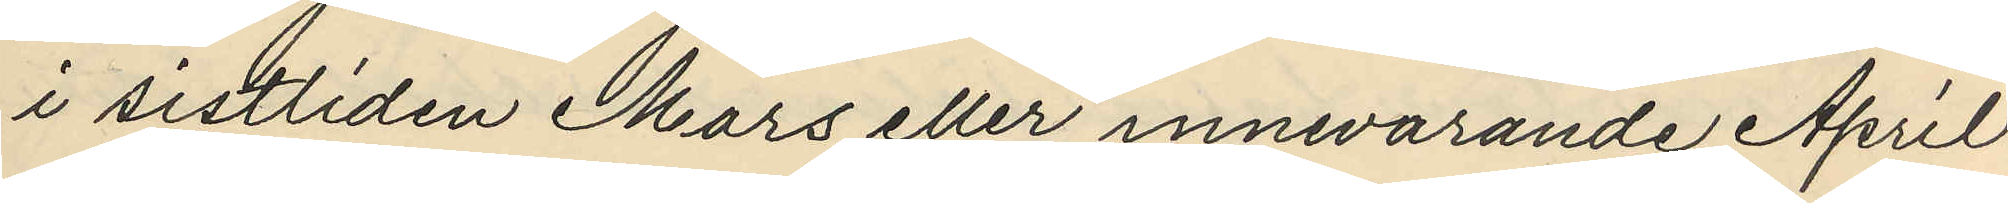i sistliden Mars eller innevarande April
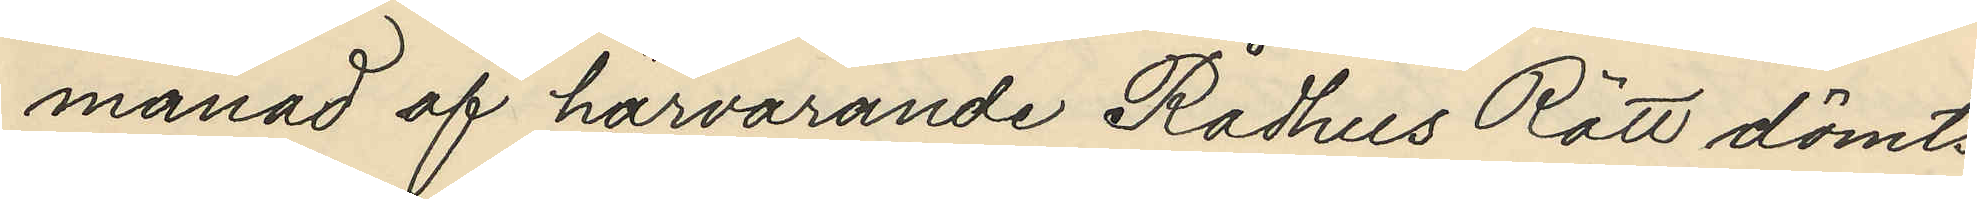månad af härvarande Rådhus Rätt dömts
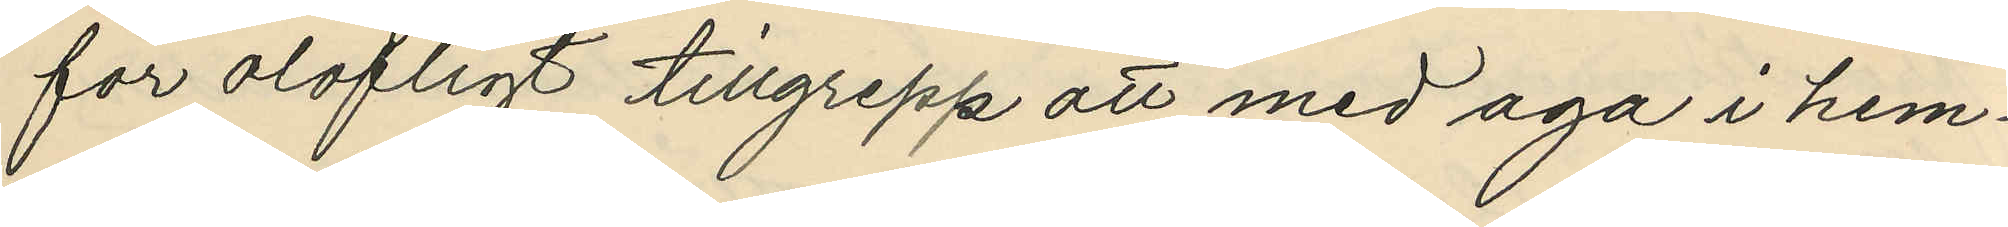för olofligt tillgrepp att med aga i hem¬
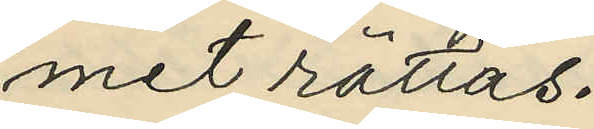met rättas.
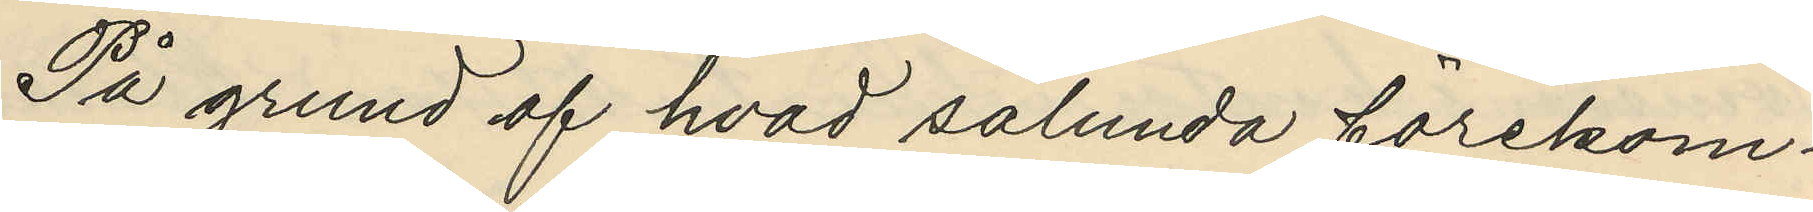På grund af hvad sålunda förekom¬
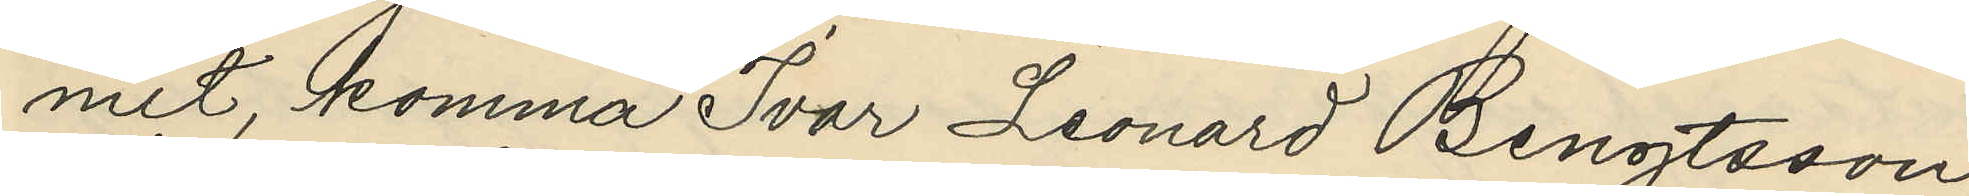mit, komma Ivar Leonard Bengtsson,
